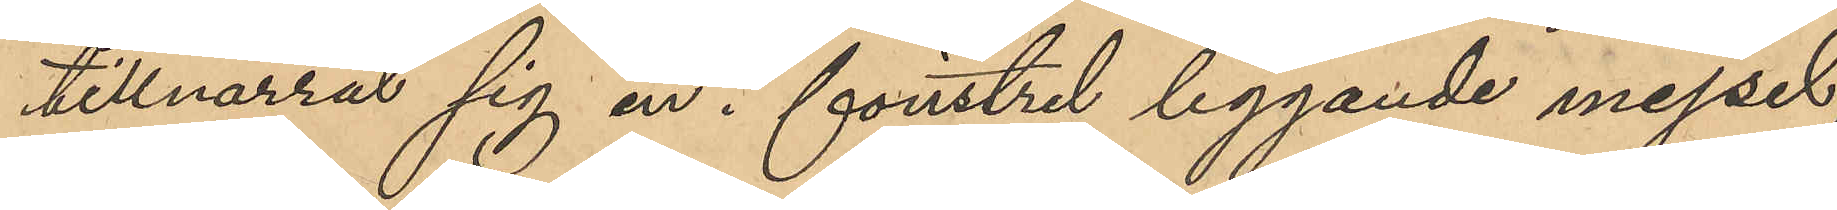tillnarrat sig en i fönstret liggande mejsel,
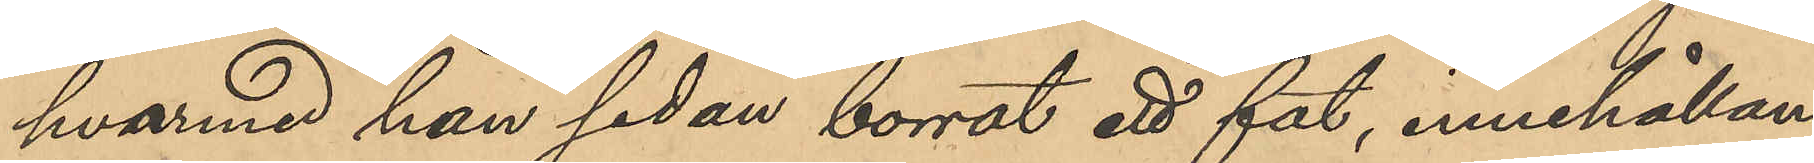hvarmed han sedan borrat ett fat, innehållan¬
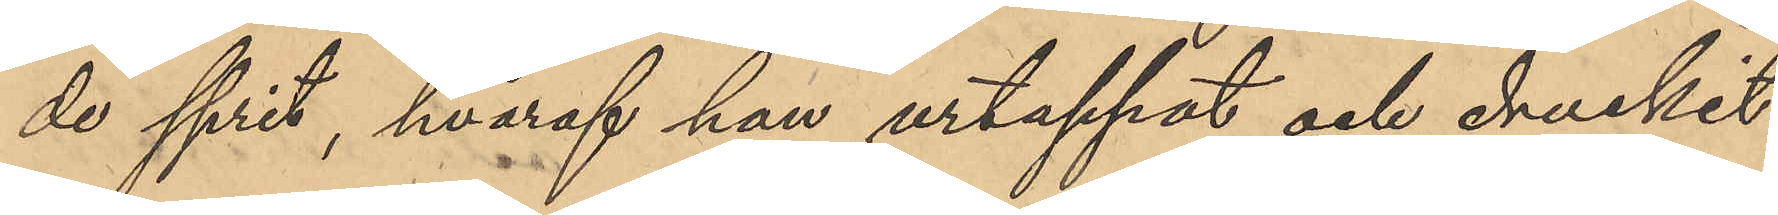de sprit, hvaraf han urtappat och druckit
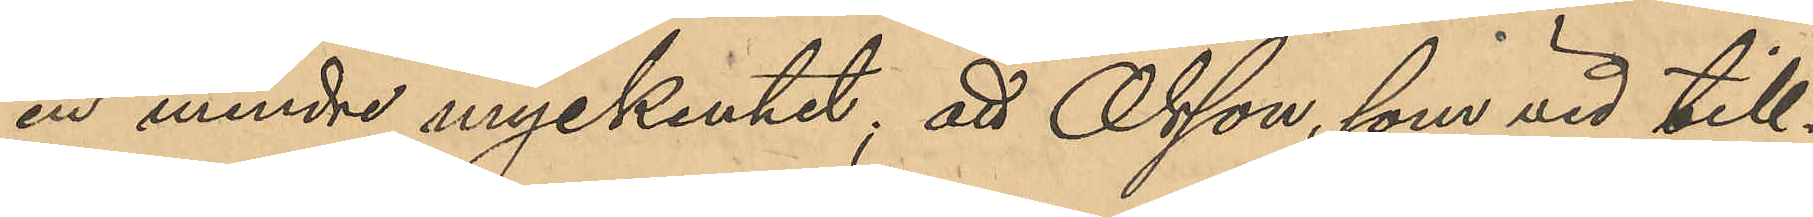en mindre myckenhet, att Olsson, som vid till¬
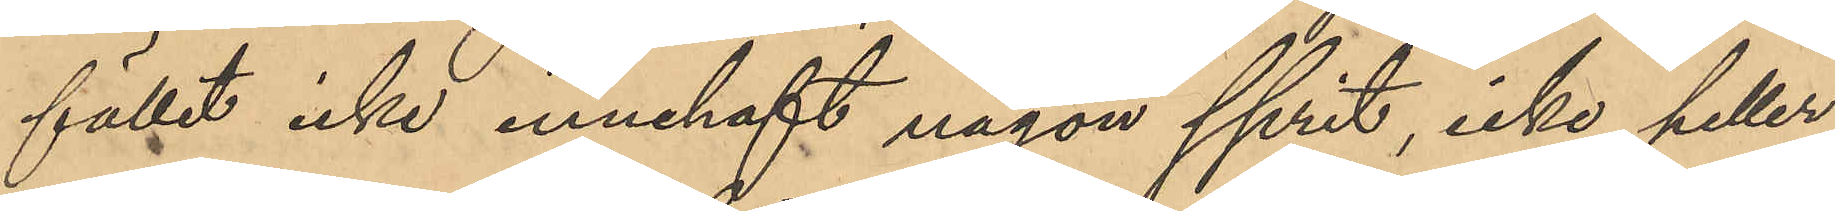fället icke innehaft någon sprit, icke heller
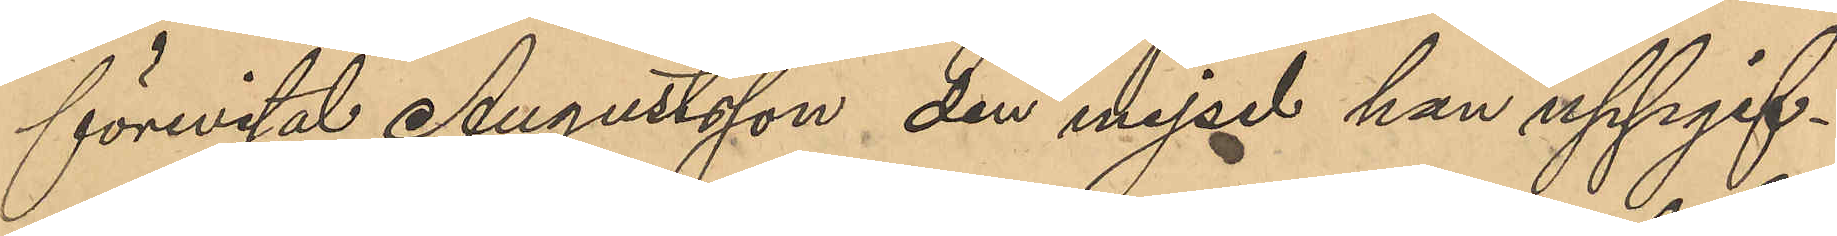förevisat Augustsson den mejsel han uppgif¬
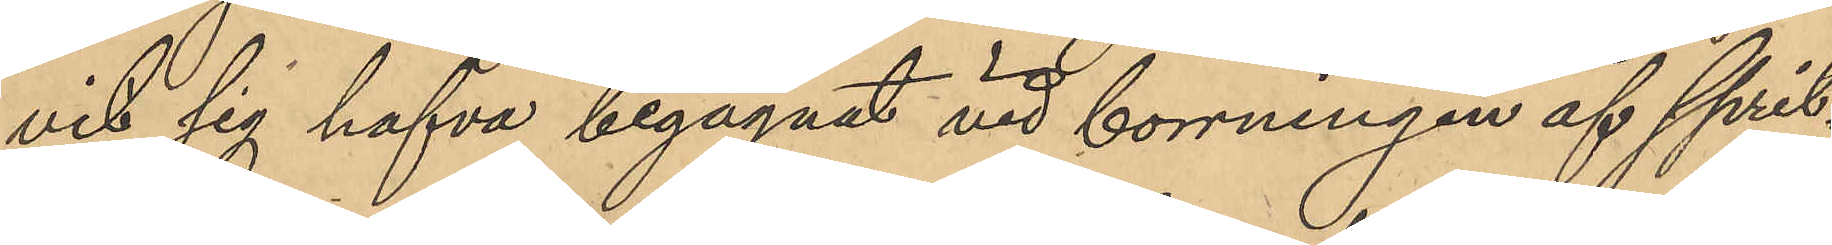vit sig hafva begagnat vid borrningen af sprit¬
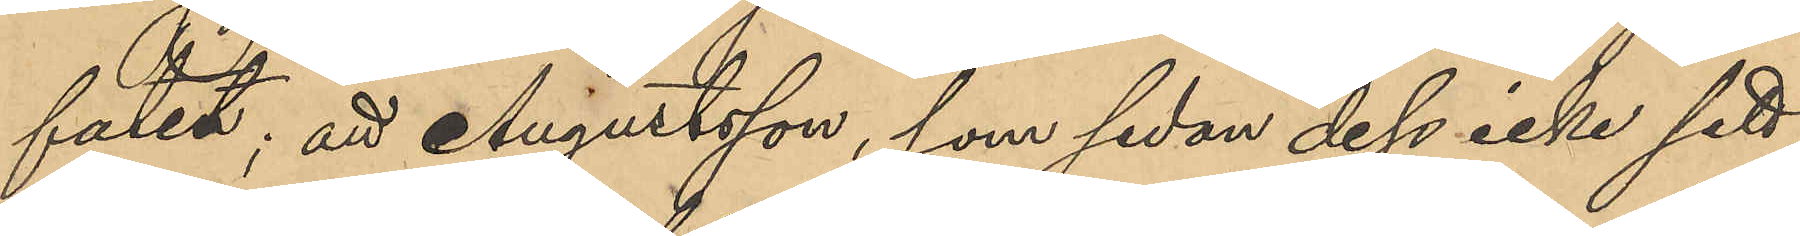faten; att Augustsson, som sedan dess icke sett
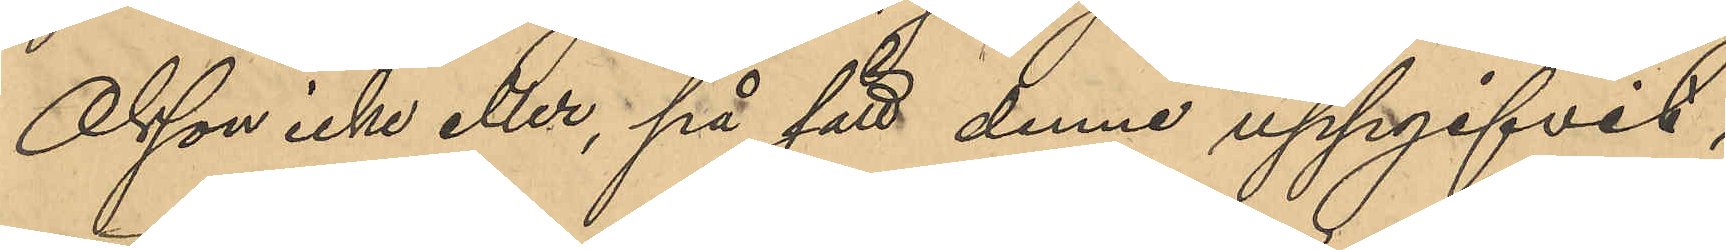Olsson, icke eller, på sätt denne uppgifvit,
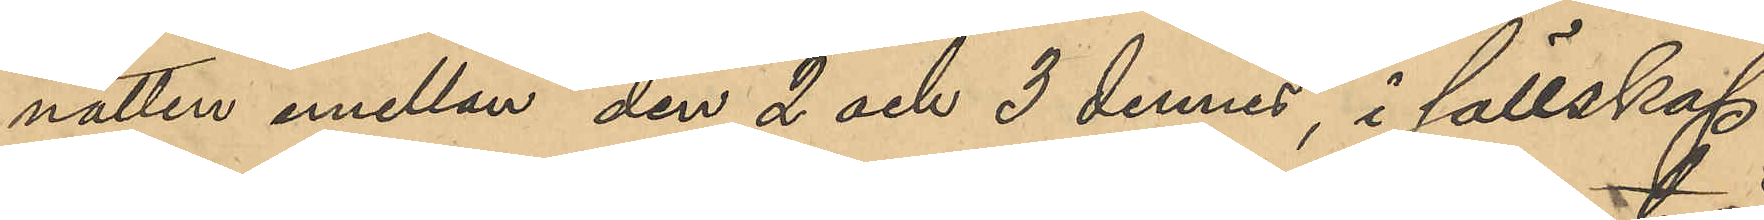natten emellan den 2 och 3 dennes, i sällskap
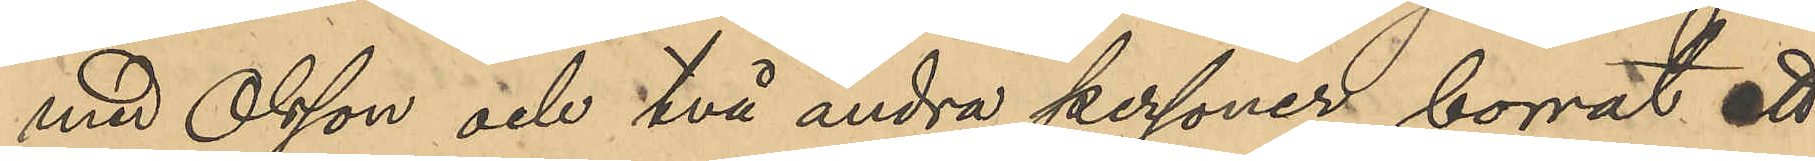med Olsson och två andra personer borrat ett
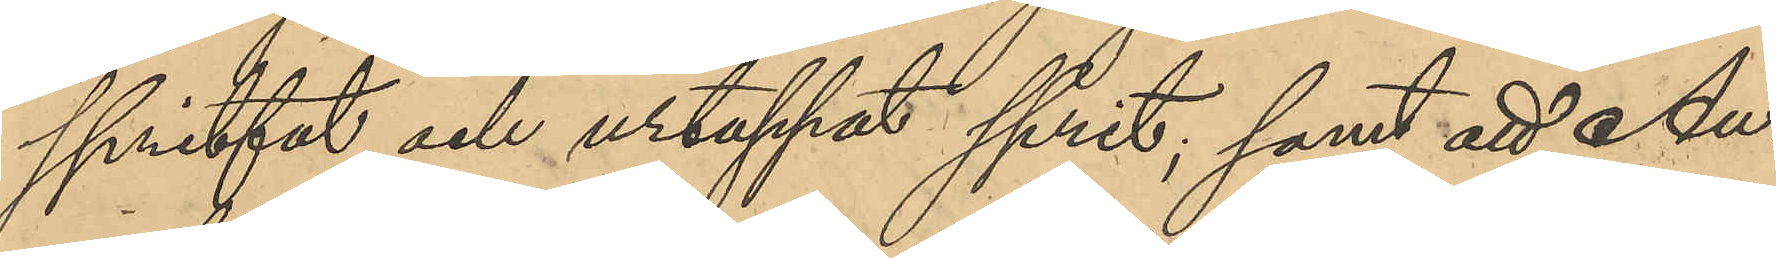spritfat och urtappat sprit, samt att Au¬
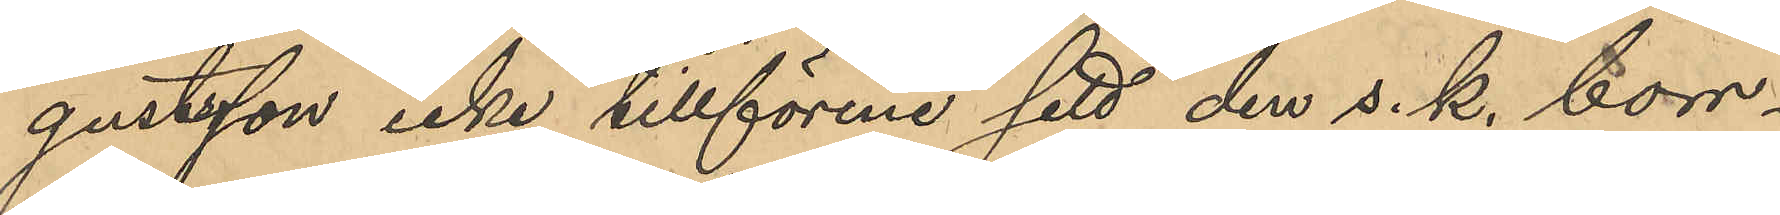gustsson icke tillförene sett den s. k. borr¬
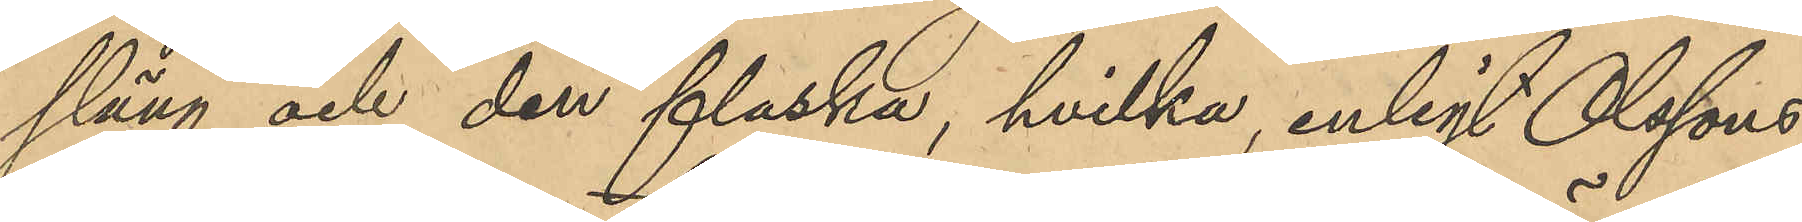släng och den flaska, hvilka, enligt Olssons
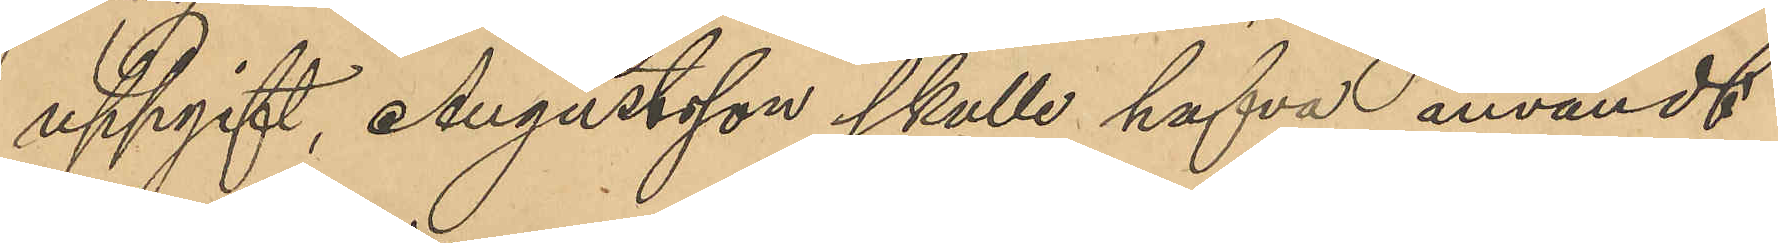uppgift, Augustsson skulle hafva användt
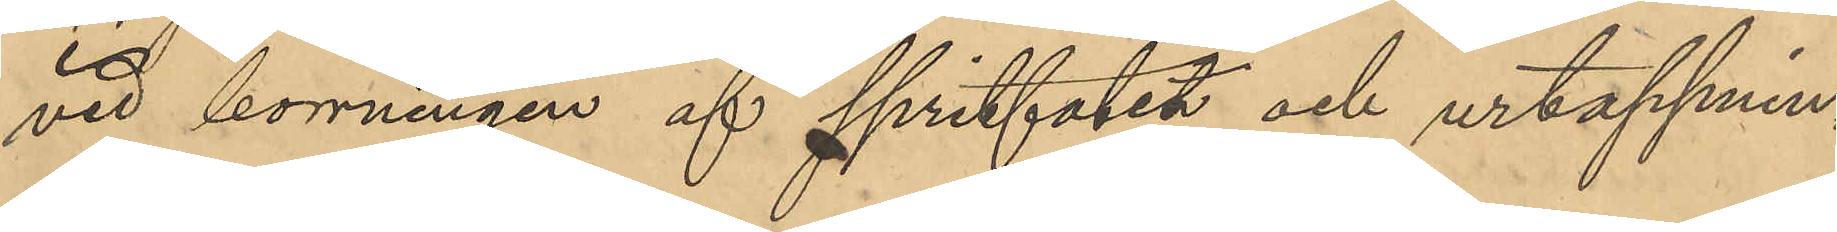vid borrningen af spritfatet och urtappnin¬
